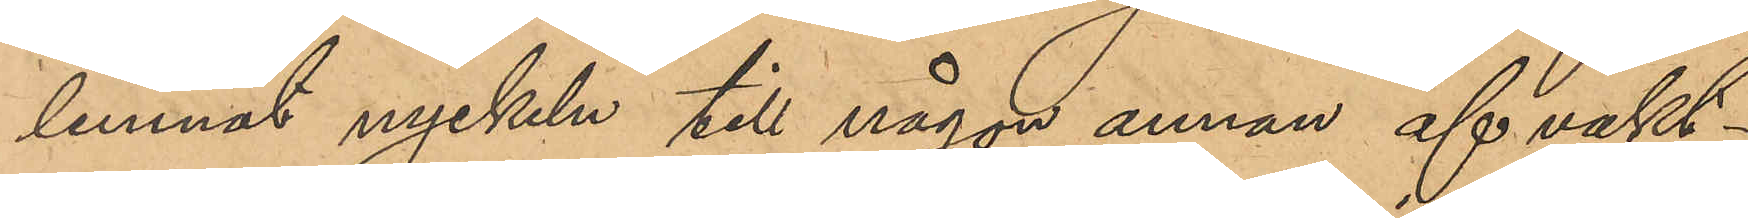lemnat nyckeln till någon annan af vakt¬
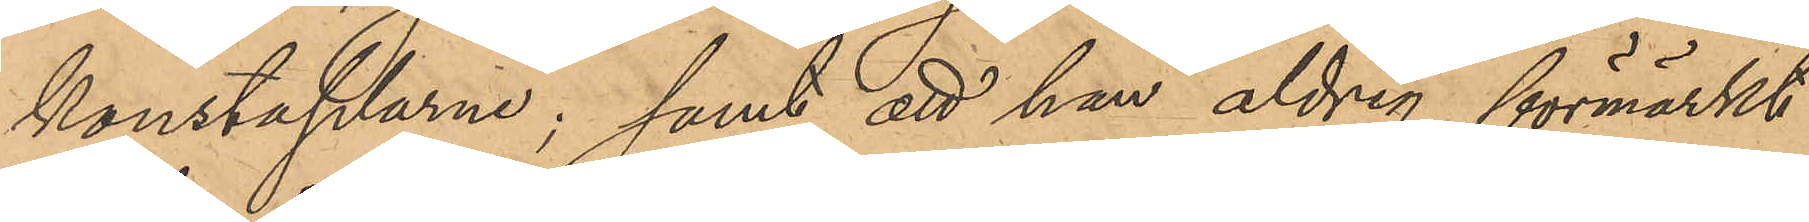konstaplarne; samt att han aldrig förmärkt
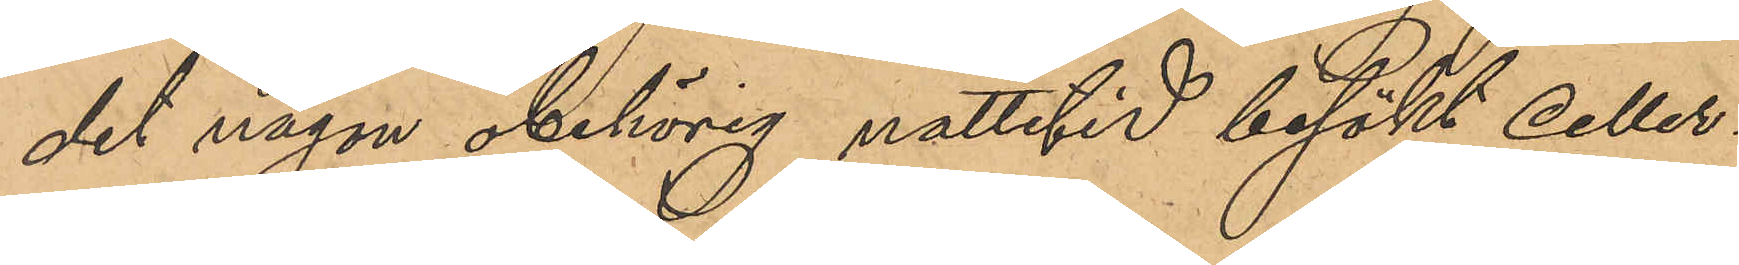det någon obehörig nattetid besökt celler¬
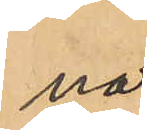na;
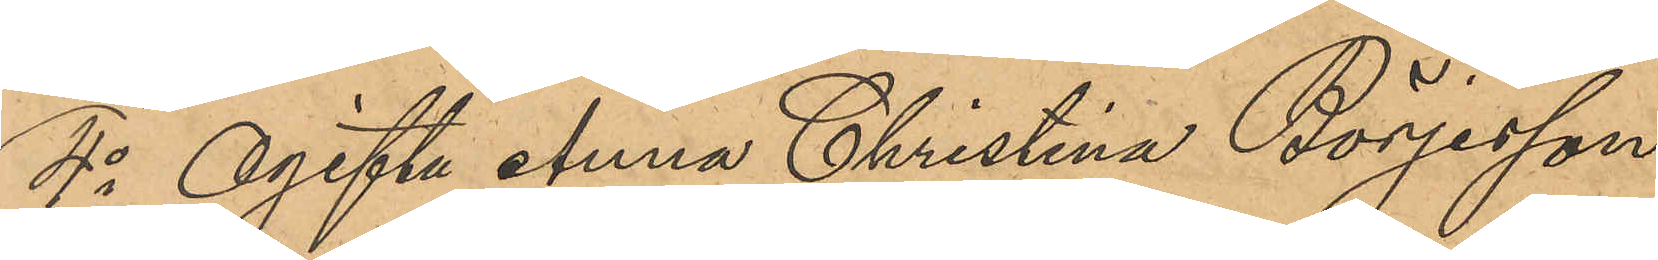4o Ogifta Anna Christina Börjesson,
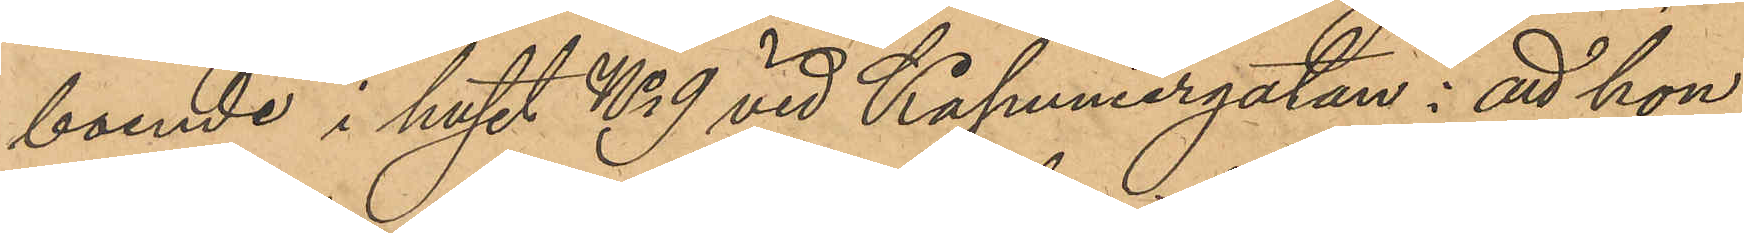boende i huset No 9 vid Kapuniergatan: att hon
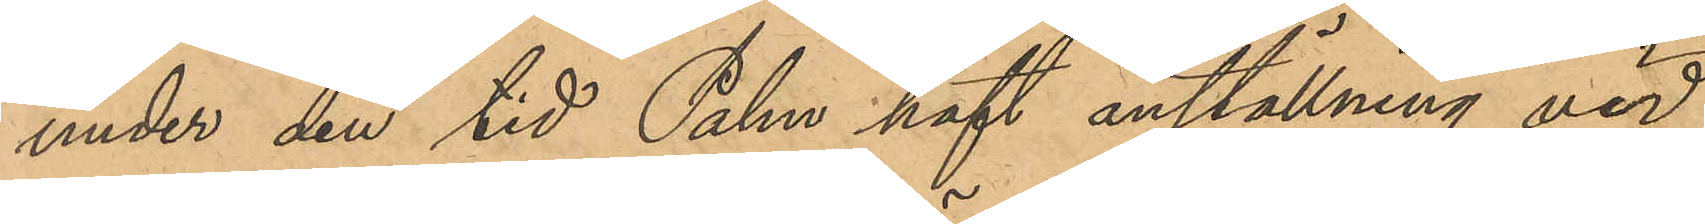under den tid Palm haft anställning vid
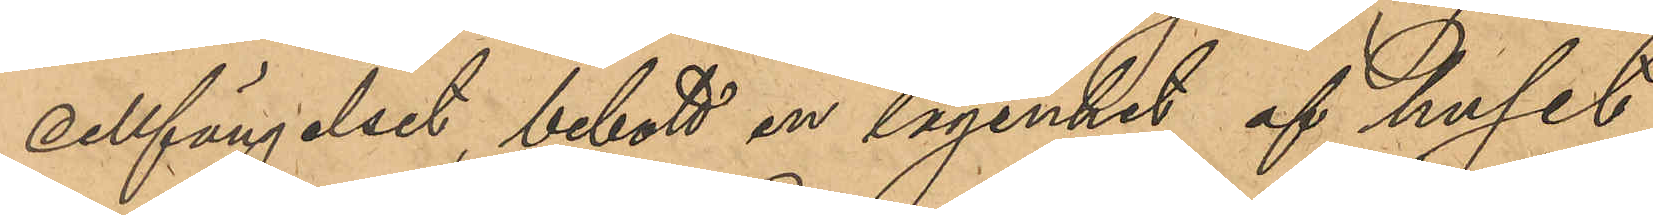Cellfängelset, bebott en lägenhet af huset
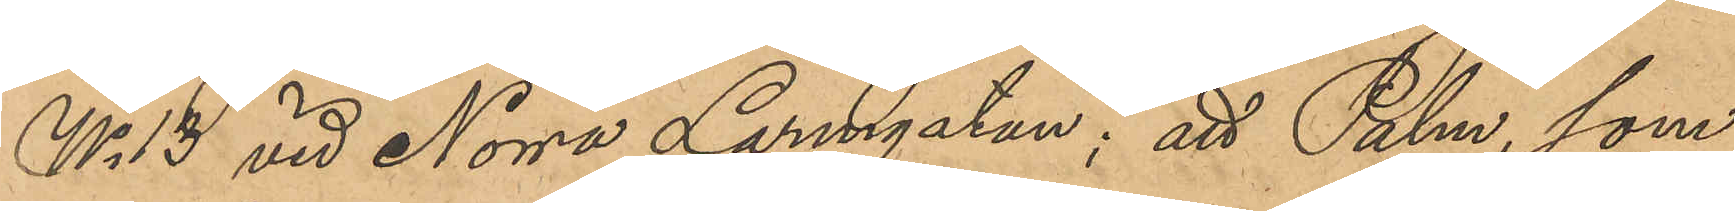No 13 vid Norra Larmgatan; att Palm, som
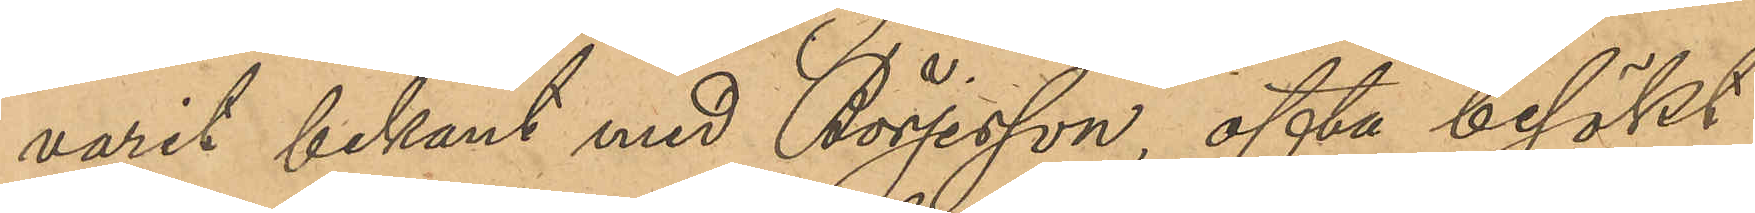varit bekant med Börjesson, ofta besökt
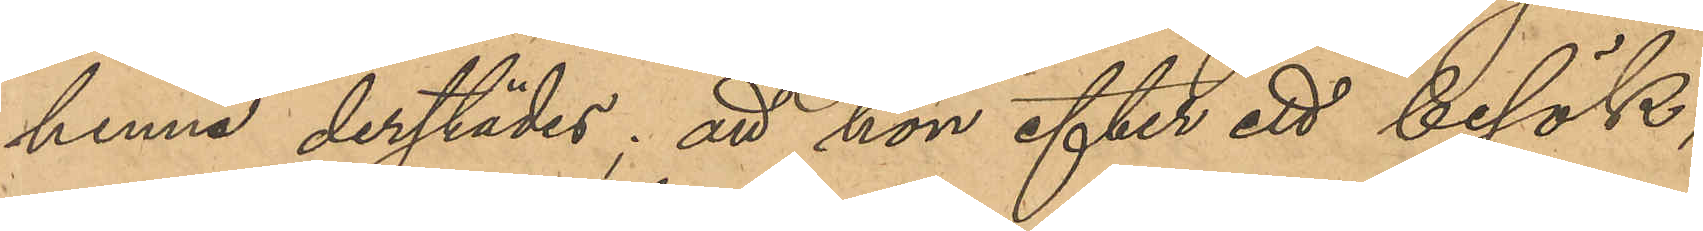henne derstädes; att hon efter ett besök,
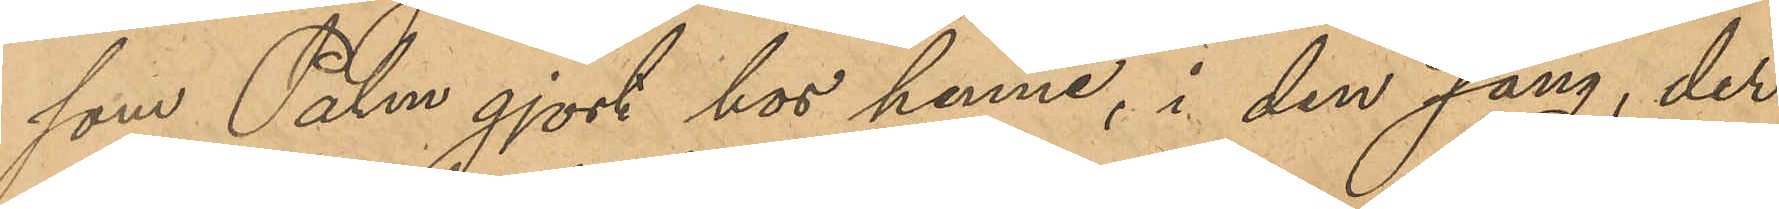som Palm gjort hos henne, i den säng, der
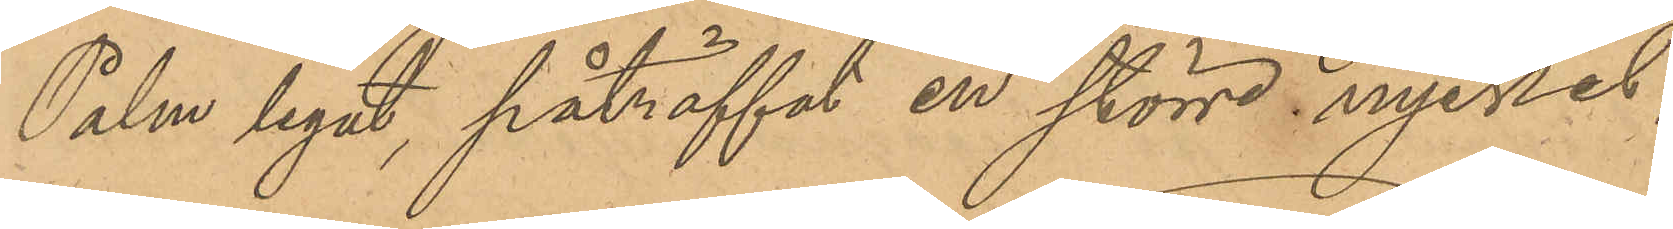Palm legat, påträffat en större nyckel,
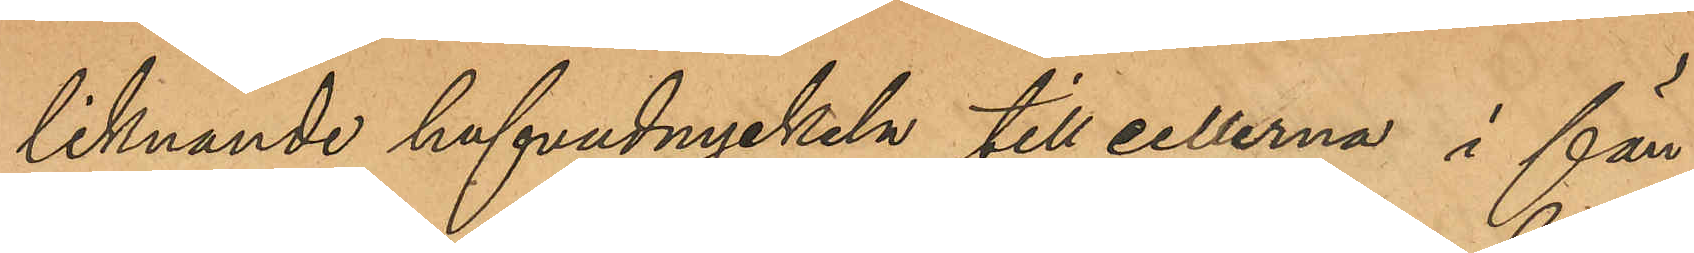liknande hufvudnyckeln till cellerna i fän¬
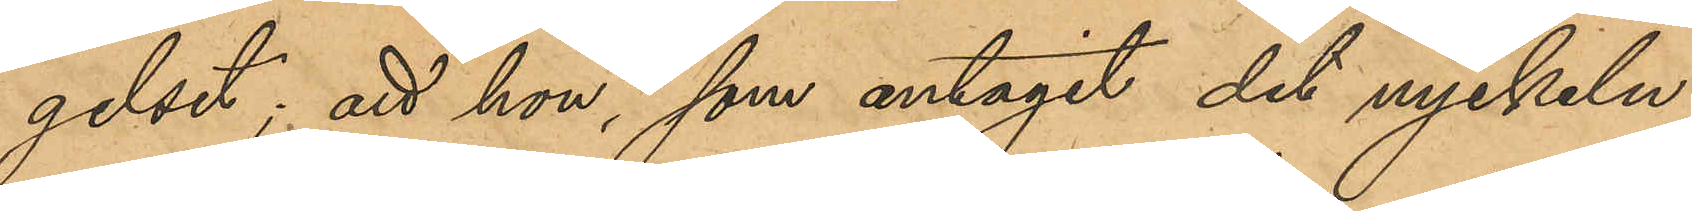gelset; att hon, som antagit det nyckeln
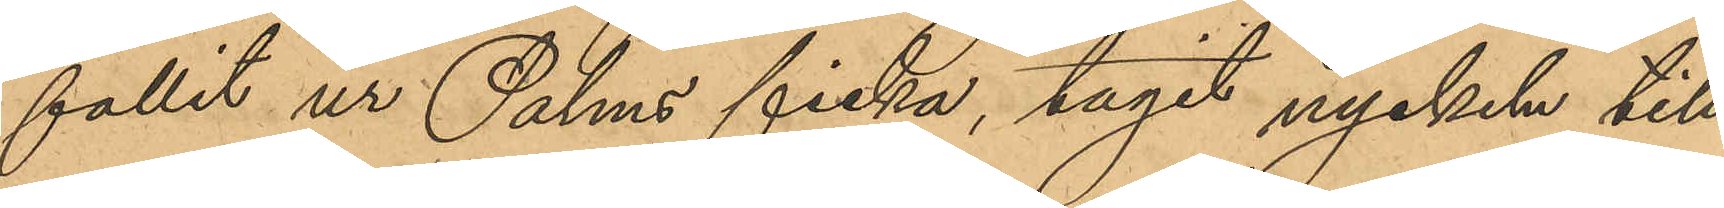fallit ur Palms ficka, tagit nyckeln till
